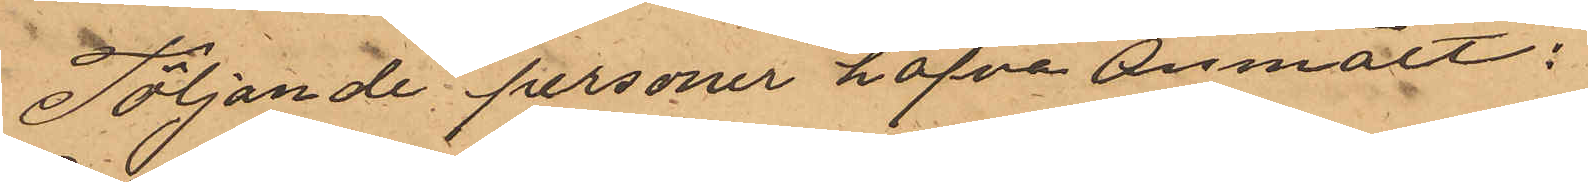Följande personer hafva anmält:
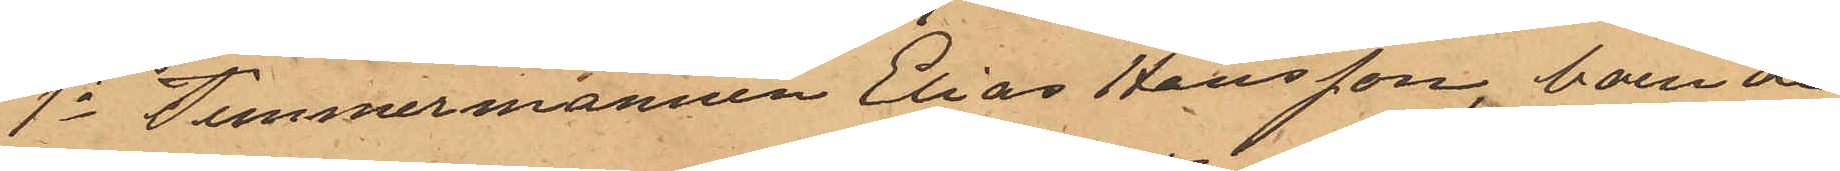1o Timmermannen Elias Hansson, boende
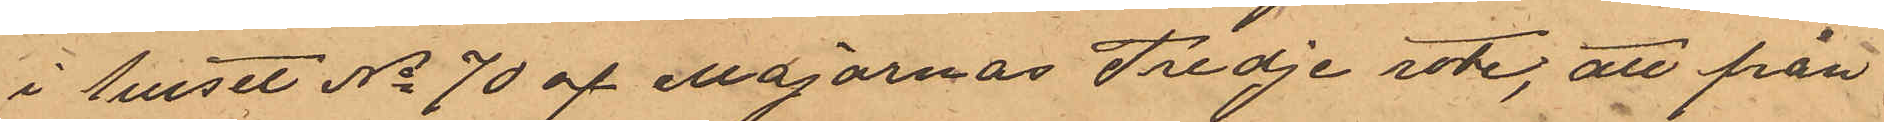i huset No 70 af Majornas Tredje rote, att från
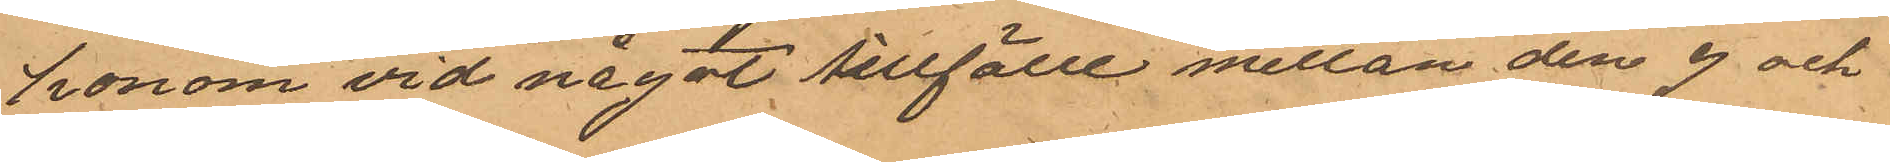honom vid något tillfälle mellan den 3 och
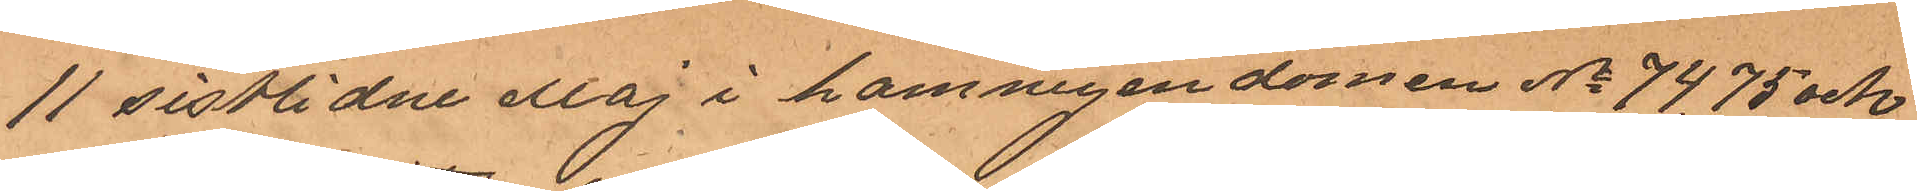11 sistlidne dag i hamnegendomen No 74, 75 och
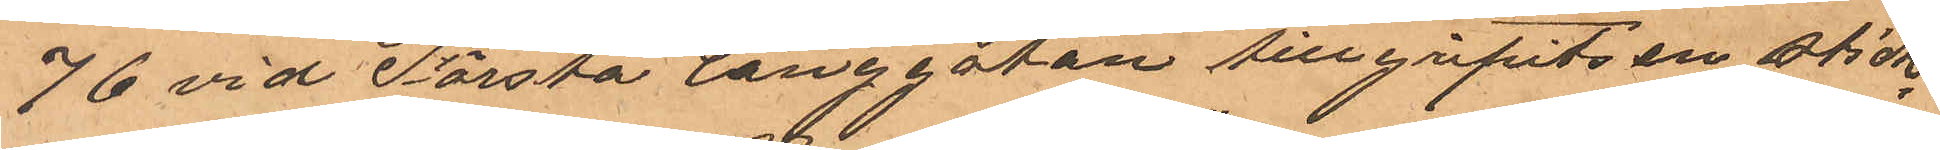76 vid Första långgatan tillgripits en stick¬
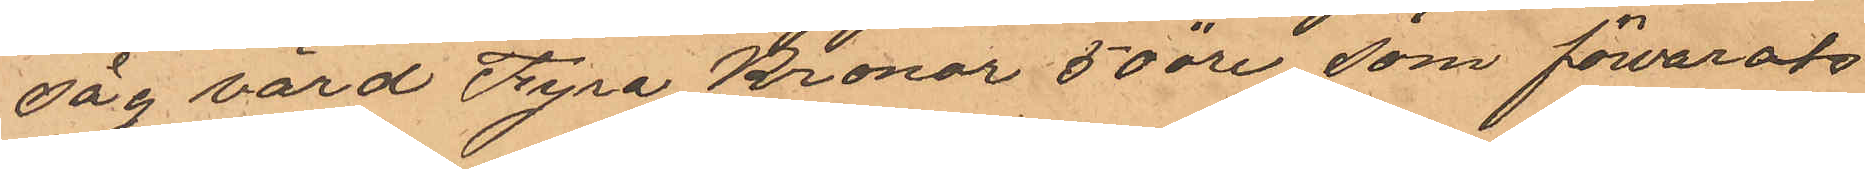såg värd fyra Kronor 50 öre, som förvarats
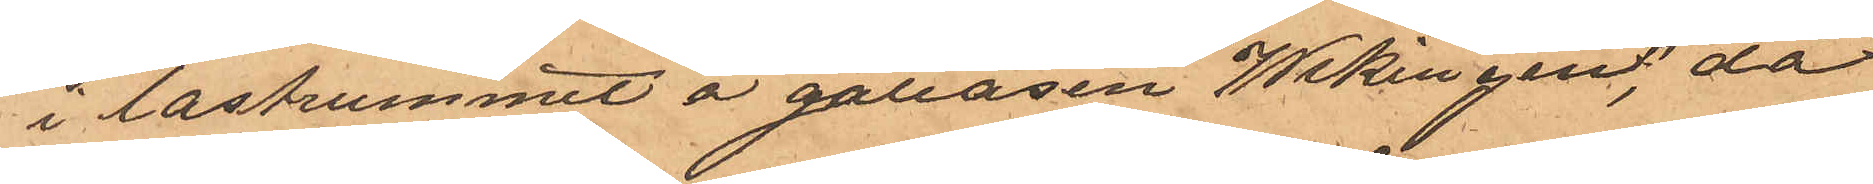i lastrummet a galeasen "Wikingen", då
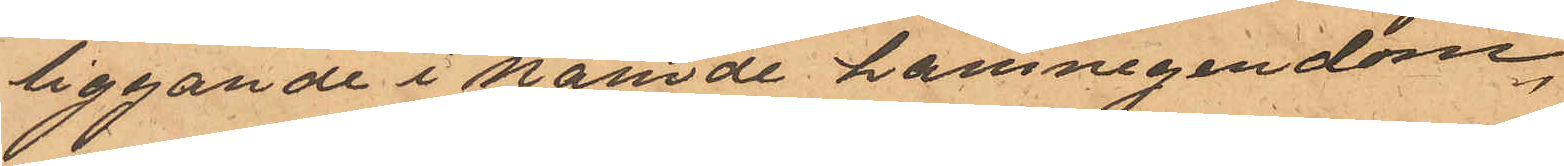liggande i nämnde hamnegendom,
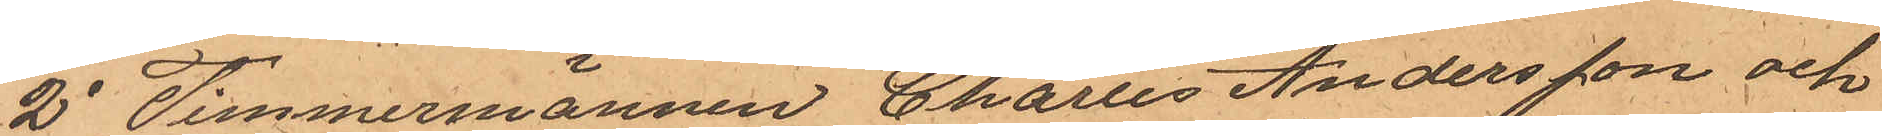2o Timmermännen Charles Andersson och
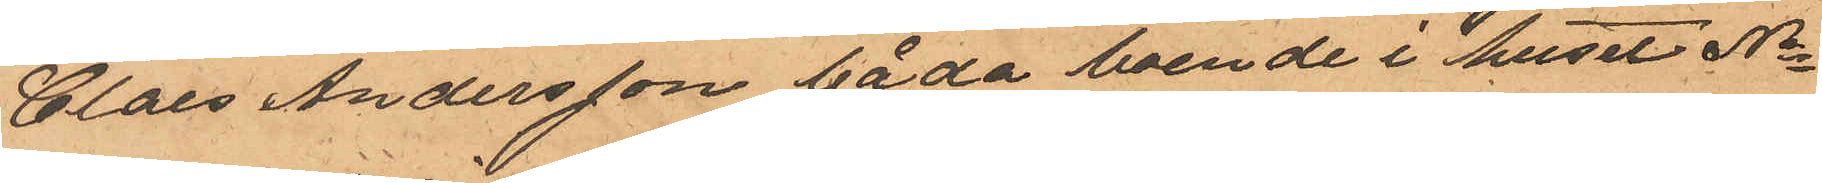Claes Andersson båda boende i huset No
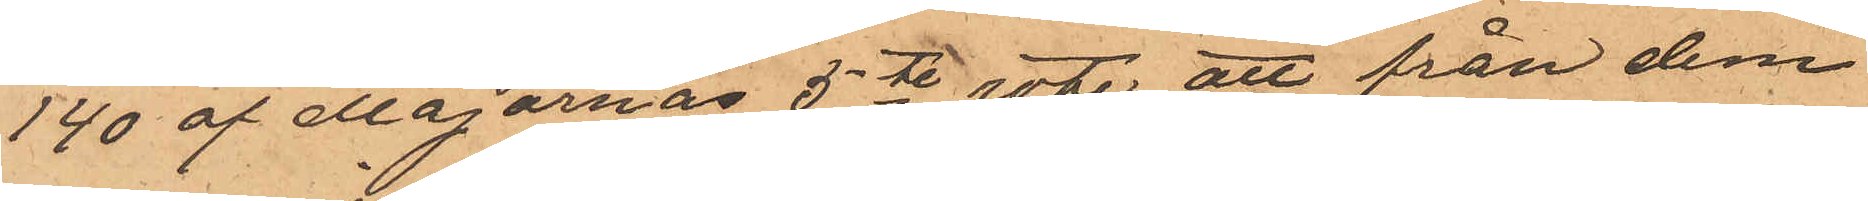140 af Majornas 5te rote att från dem
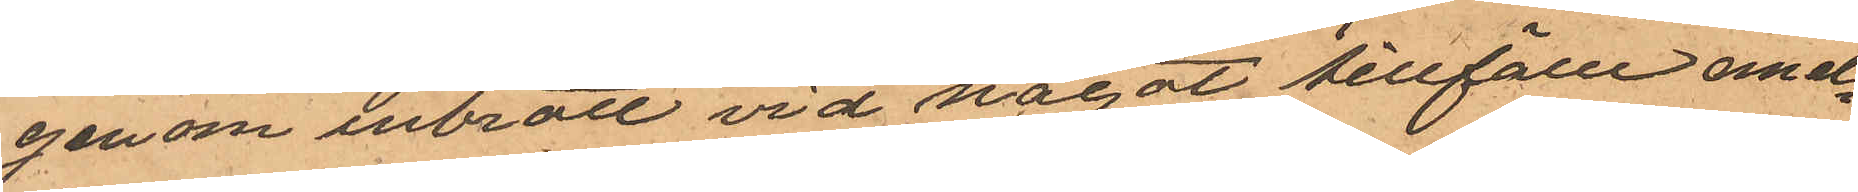genom inbrott vid något tillfälle emel¬
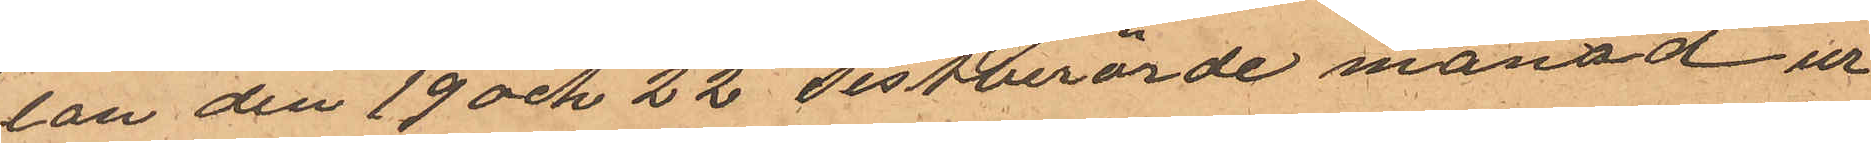lan den 19 och 22 sistberörde månad ur
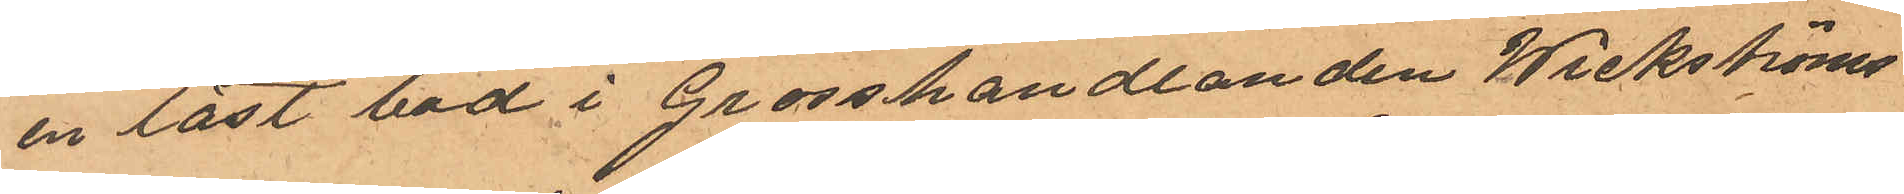en låst bod i Grosshandlanden Wickströms
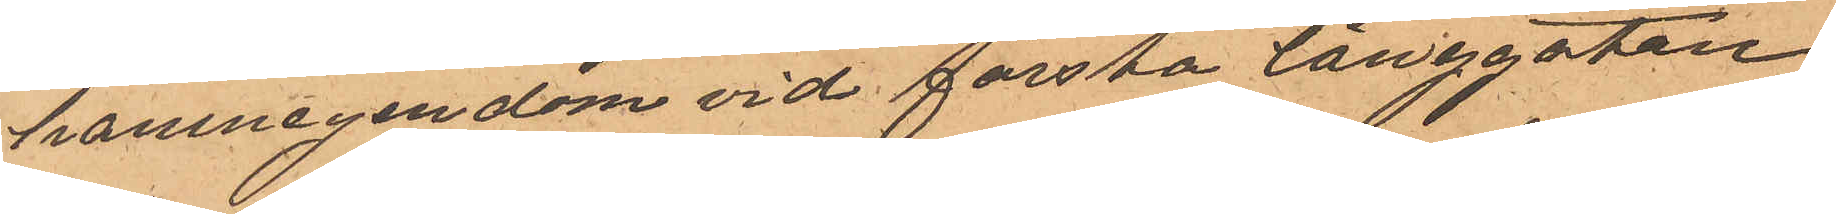hamnegendom vid första långgatan
